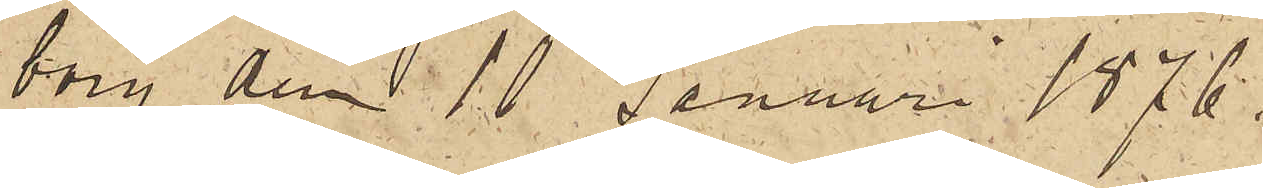borg den 10 Januari 1876.
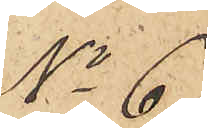No 6
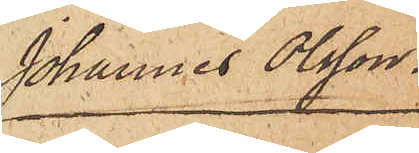Johannes Olsson.
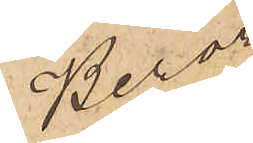Beror 
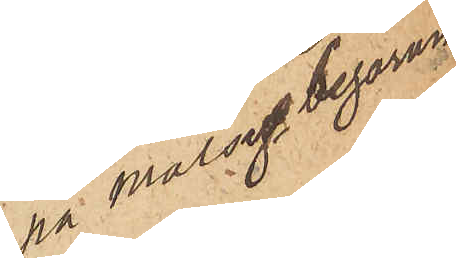på målseg. begäran 
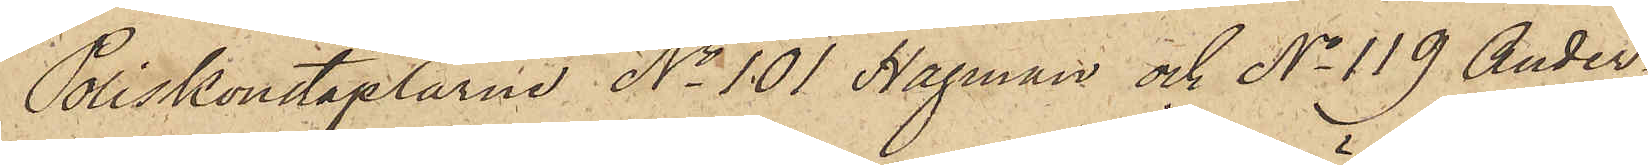Poliskonstaplarne No 101 Hagman och No 119 Ander¬
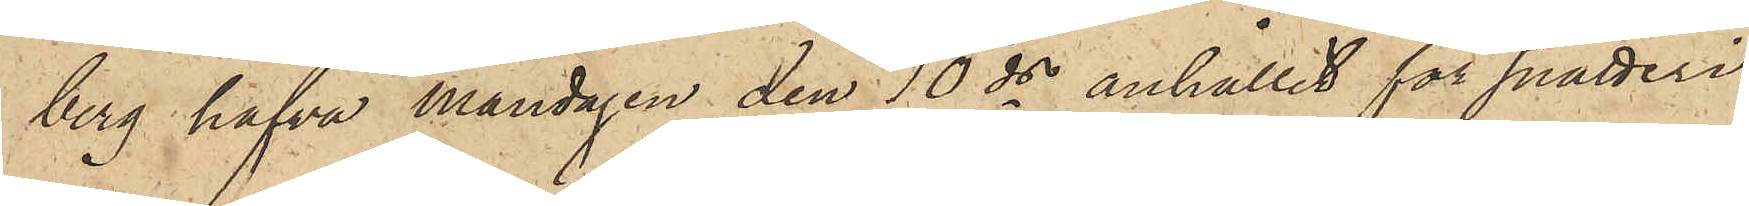berg hafva måndagen den 10 ds anhållit för snatteri
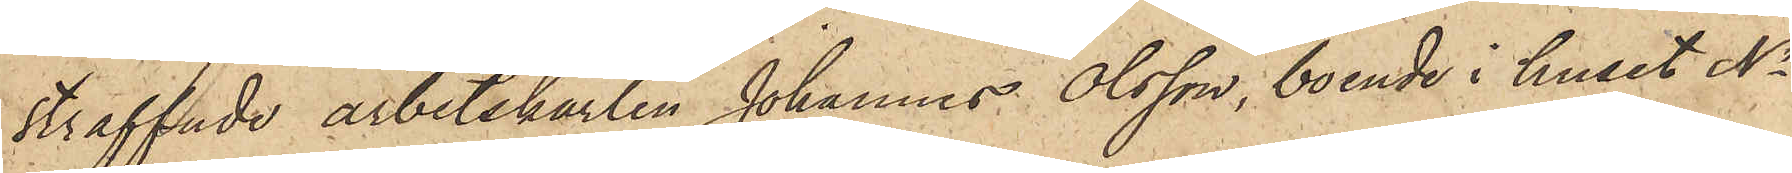straffade arbetskarlen Johannes Olsson, boende i huset No
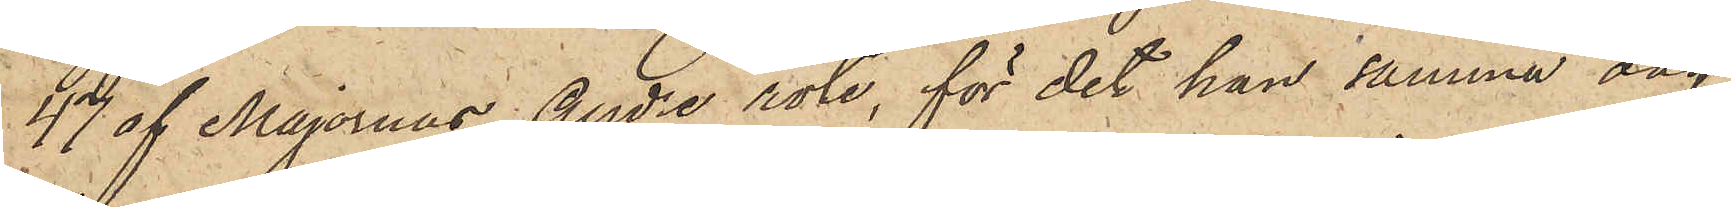47 af Majornas Andre rote, för det han samma dag
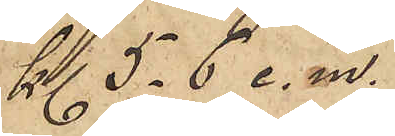Kl. 5-6 e. m.
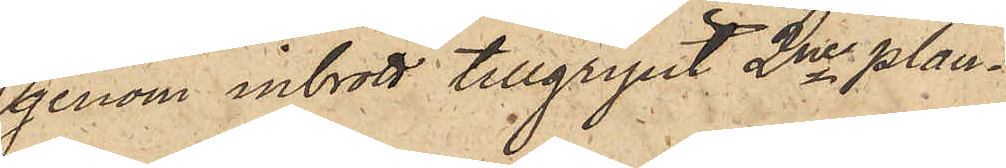genom inbrott tillgripit 2ne plan¬
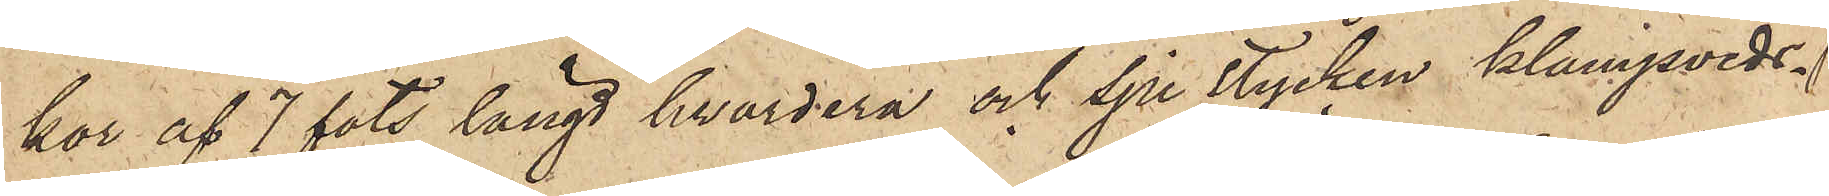kor af 7 fots längd hvardera och sju stycken klampveds¬
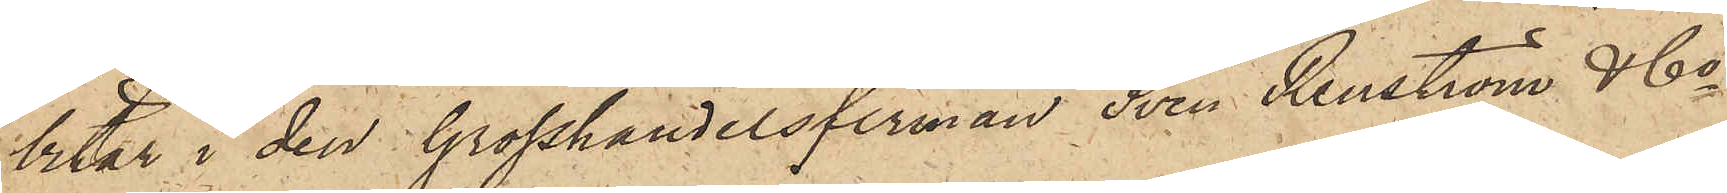bitar i den Grosshandelsfirman Sven Renström & Co
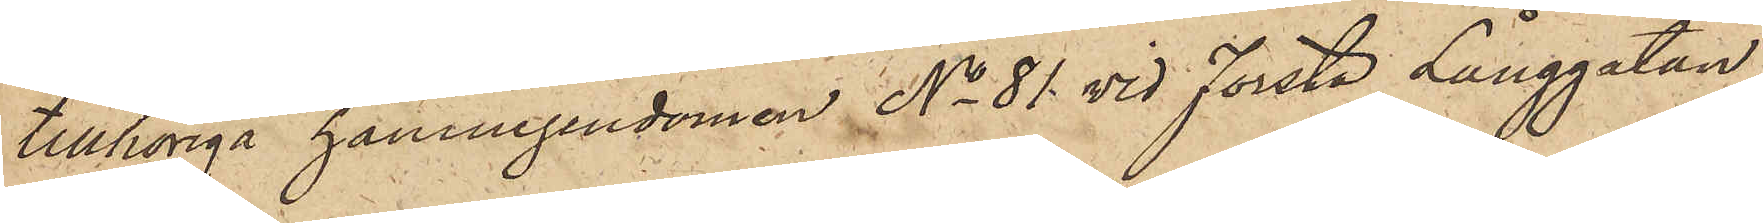tillhöriga hamnegendomen No 81 vid Första Långgatan;
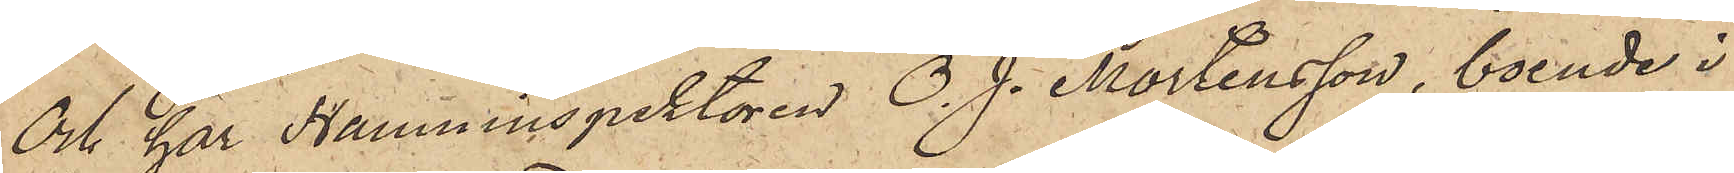Och har Hamninspektören O. J. Mortensson, boende i
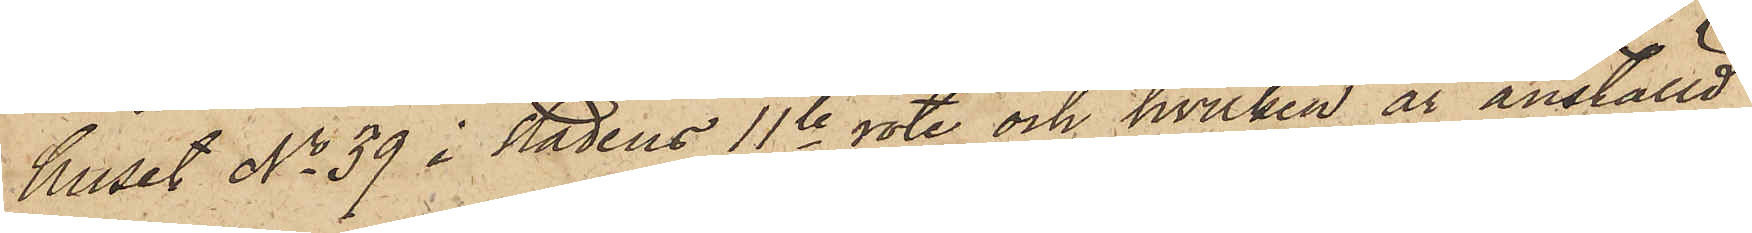huset No 39 i Stadens 11te rote och hvilken är anställd
